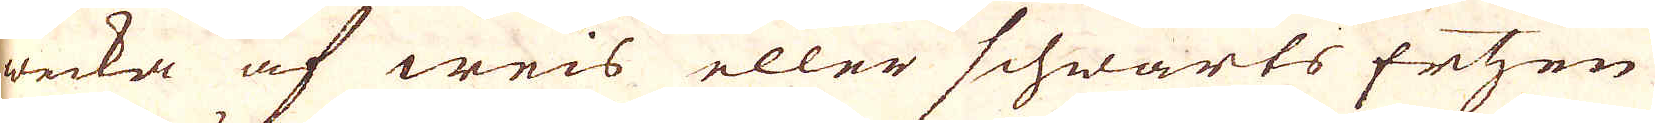wecka af weis eller Schwarts Ertzen
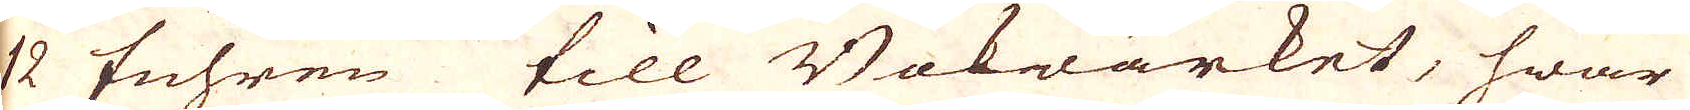12 fuhren till Bokwärket, hwar
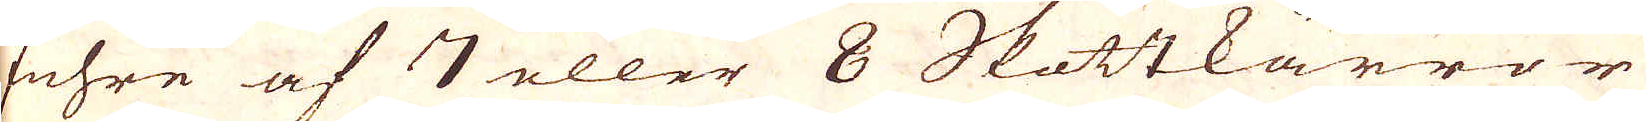fuhre af 7 eller 8 Skottkärror
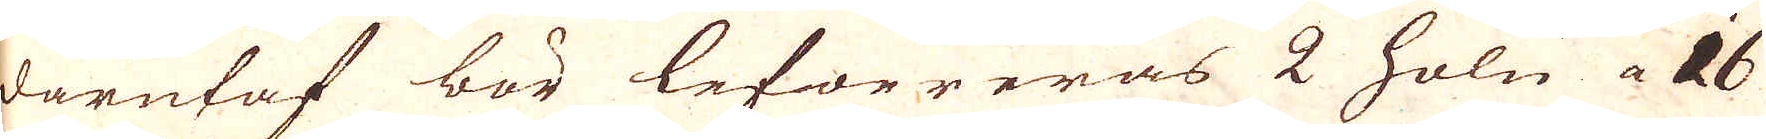därutaf bör lefwereras 2 Hole a 16
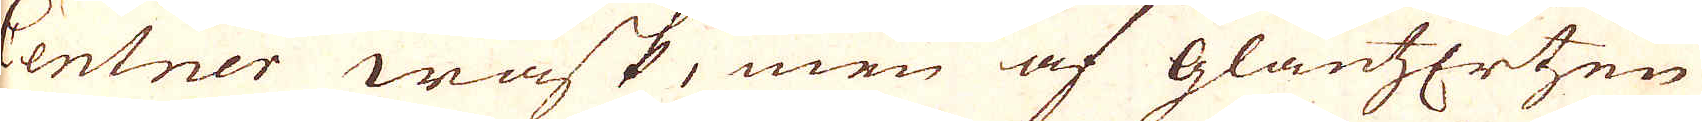centner wask, men af Glantzertzen
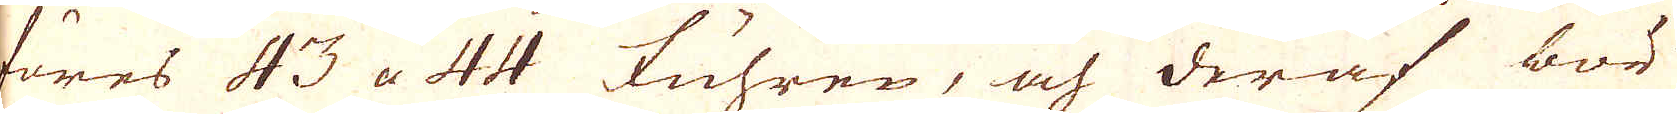föres 43 a 44 Fuhren, och deraf bör
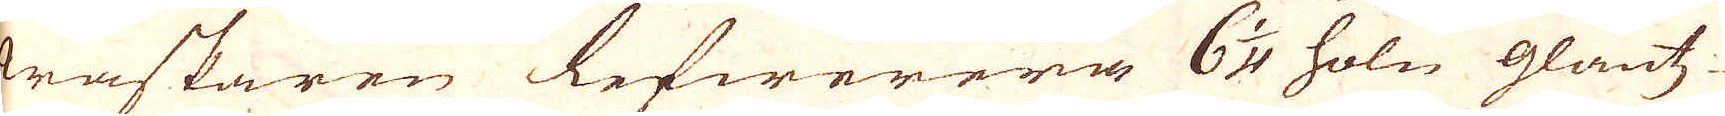waskaren lefwerera 6 1/4 höle glantz-
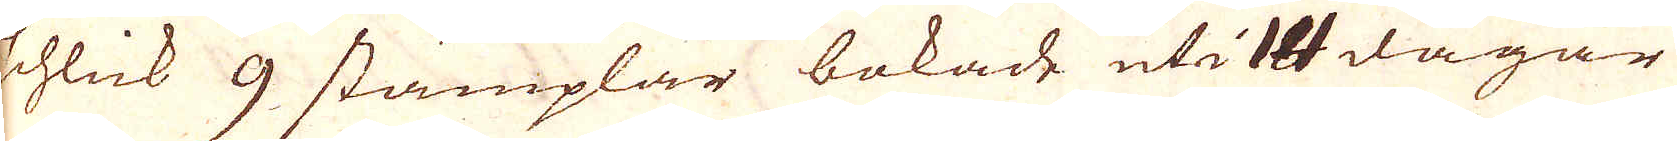schlick 9 stämplar bokade uti 14 dagar
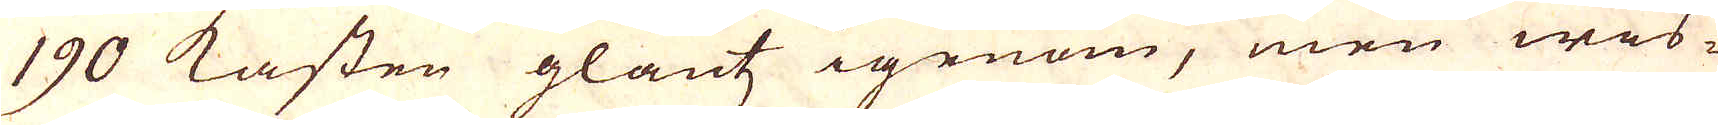190 Kasten glantz igenom, men weis-
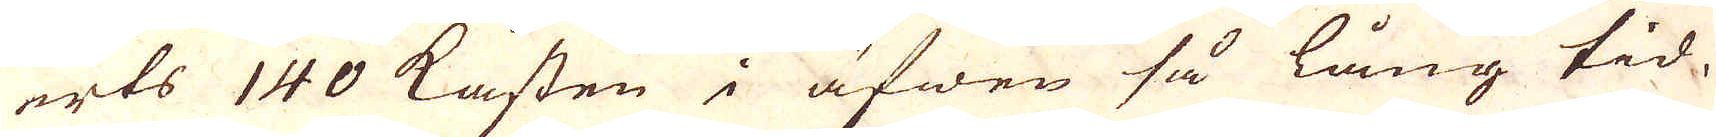erts 140 Kasten i äfwen så lång tid.
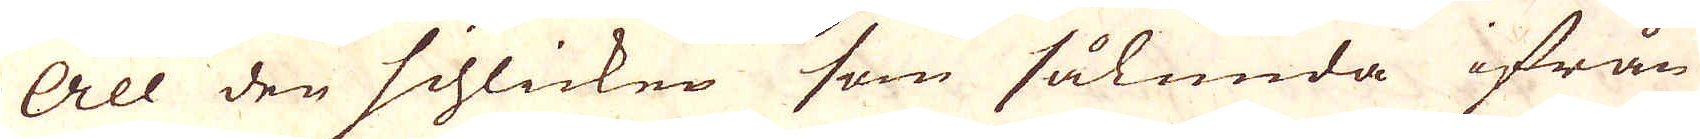All den schlicken som sålunda ifrån
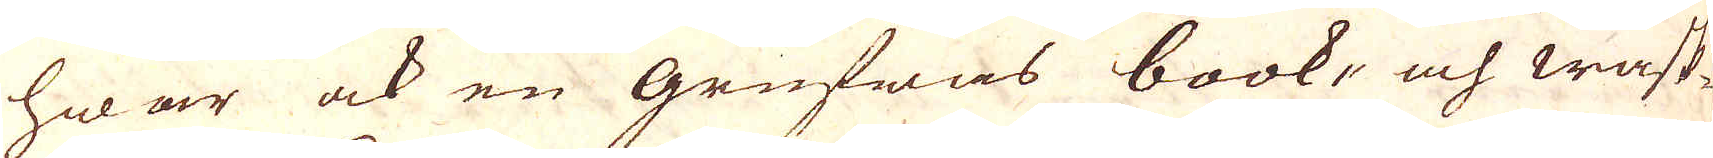hwar ock en grufwas book- och wask-
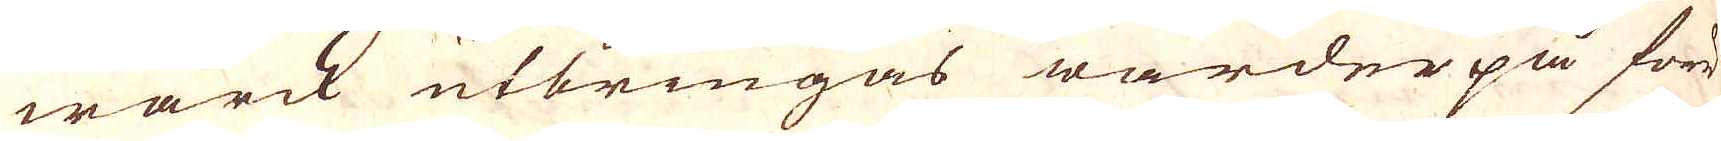wärck utbringas warder på förr
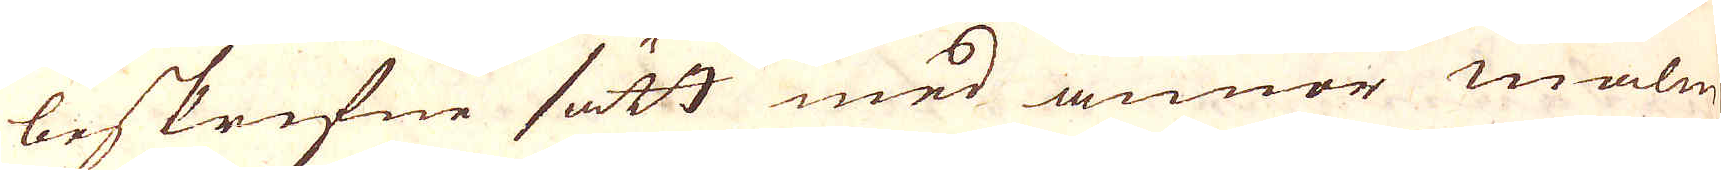beskrifne sätt med annor malm
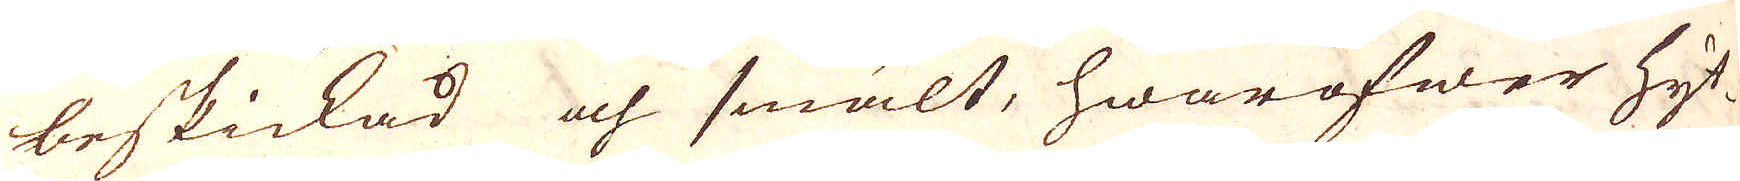beskickad och smält, hwaröfwer Hyt-
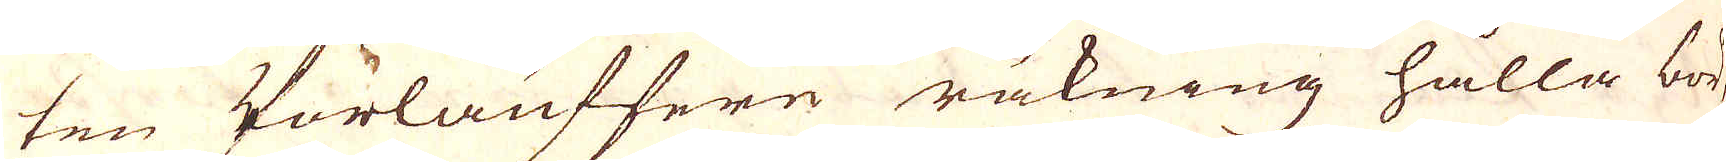ten Vörlaufferen räkning hålla bör
